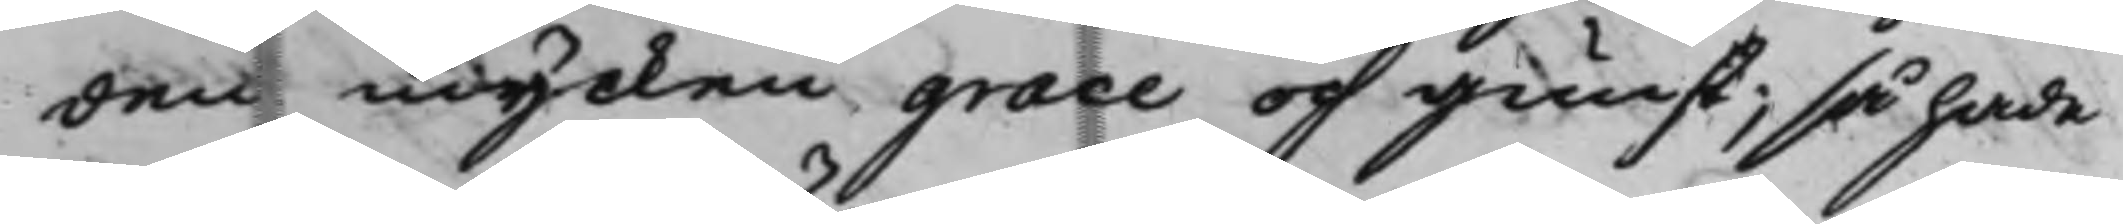den mycken grace och gunst; så hade
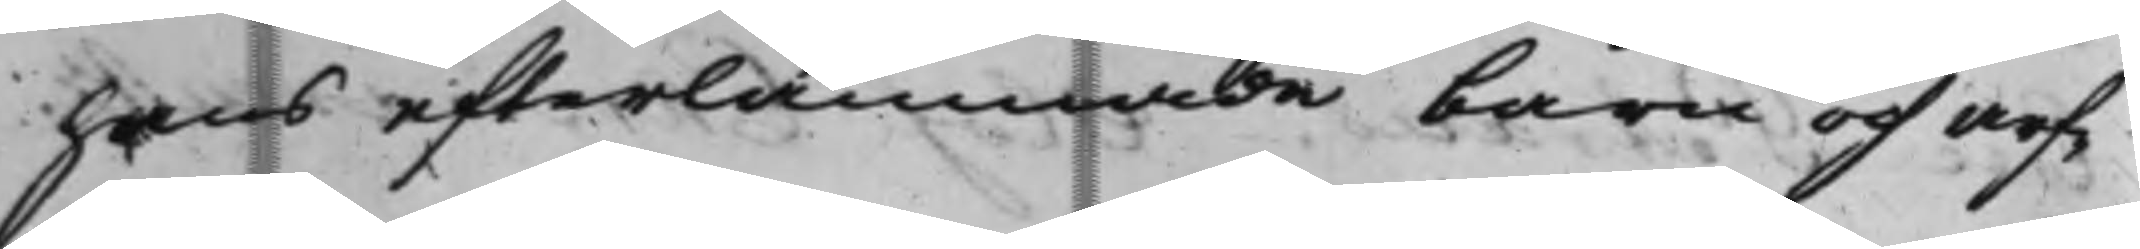hans efterlämnade barn och arf¬
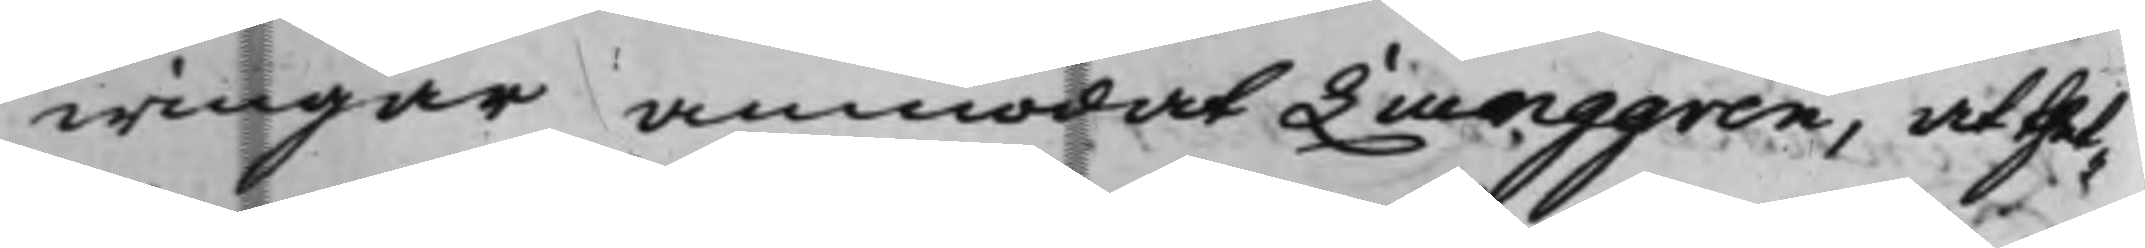wingar anmodat Liunggren, at thet¬
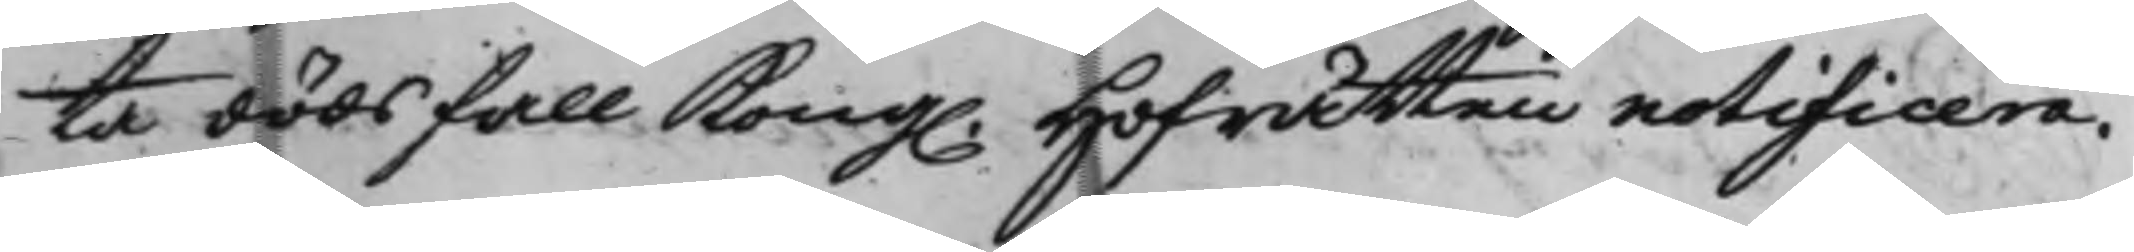ta dödsfall Kong. Hofrätten notificera.
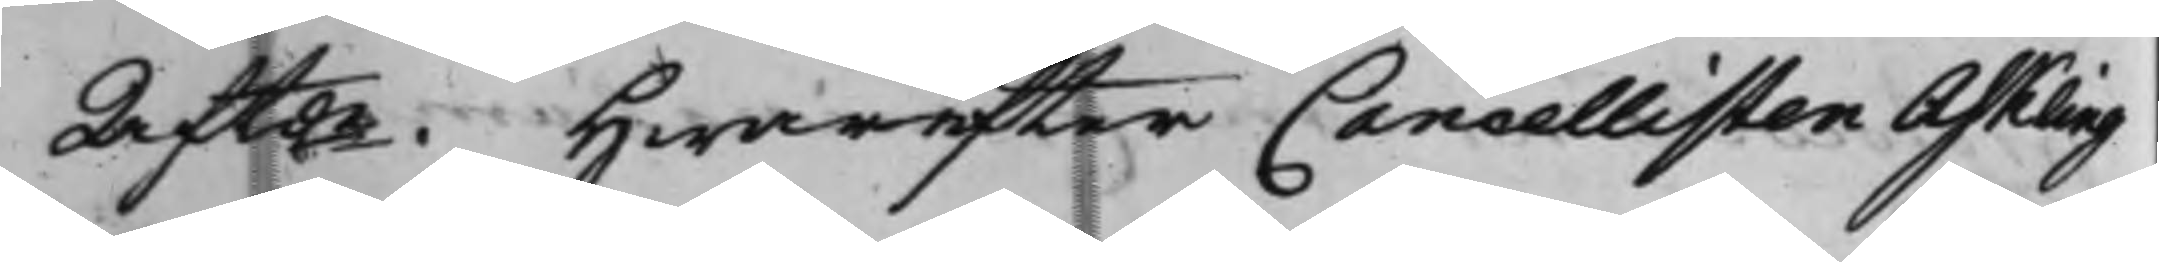Aftde. Hwarefter Cancellisten Askling
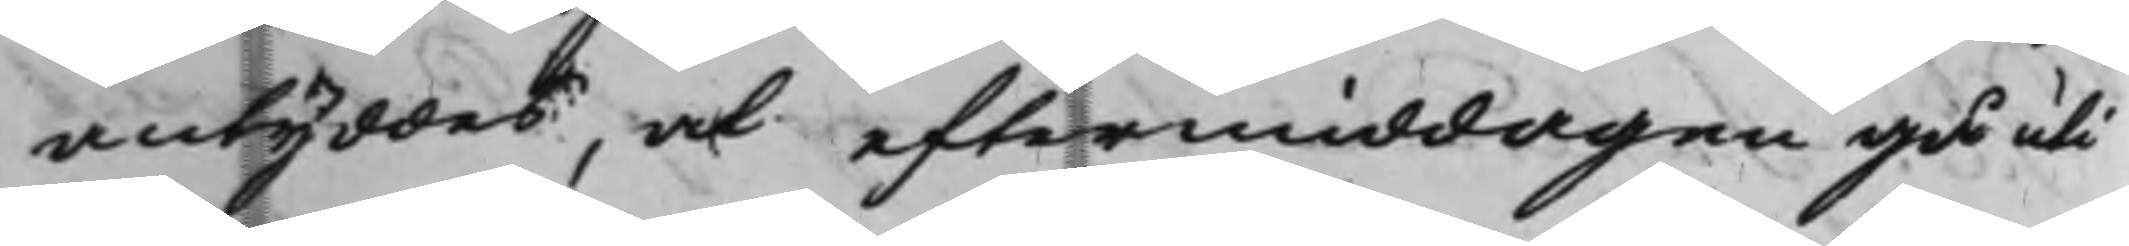antyddes, at eftermiddagen gå uti
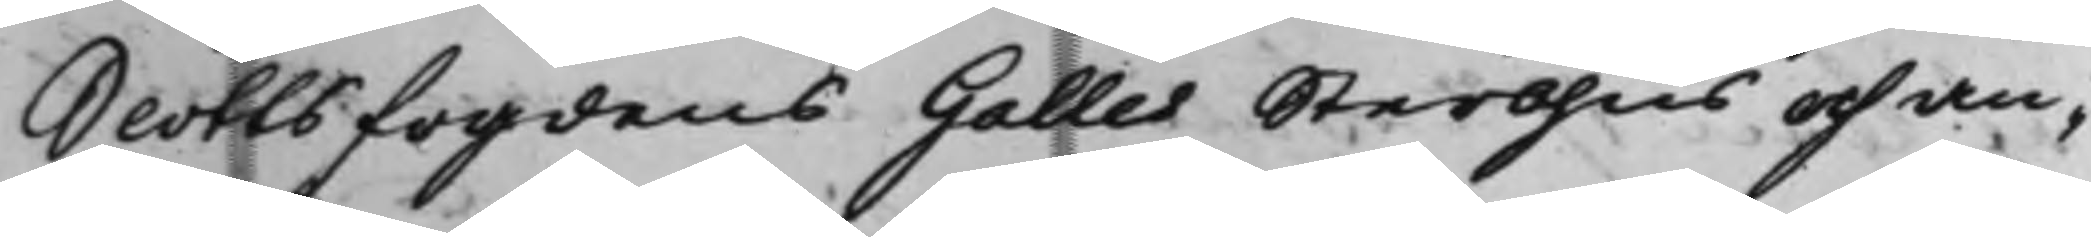Slottsfogdens Galles Sterbhus och an¬
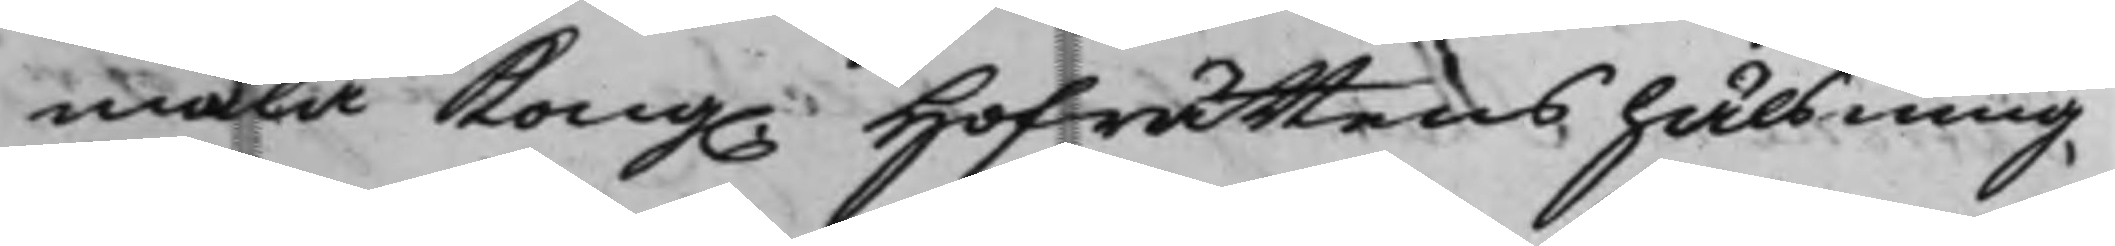mäla Kong. Hofrättens hälsning,
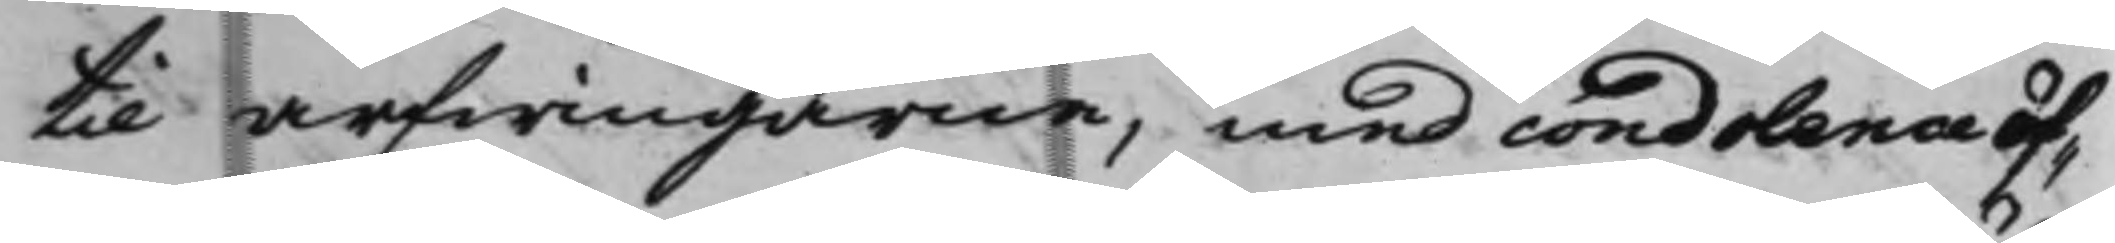til arfwingarne, med condolence öf¬
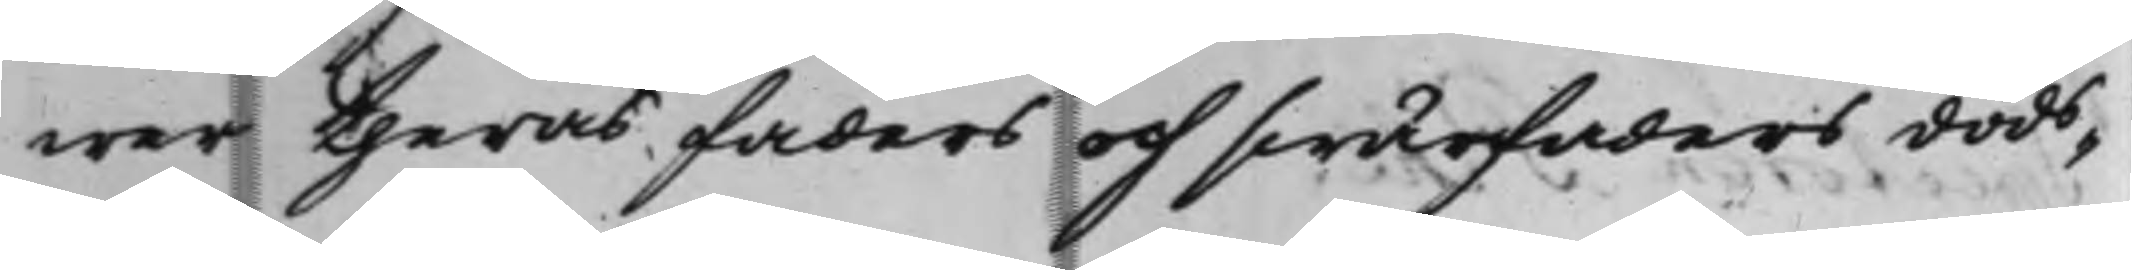wer theras faders och swärfaders döds¬
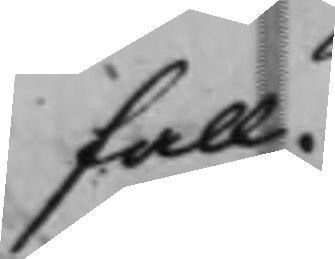fall.
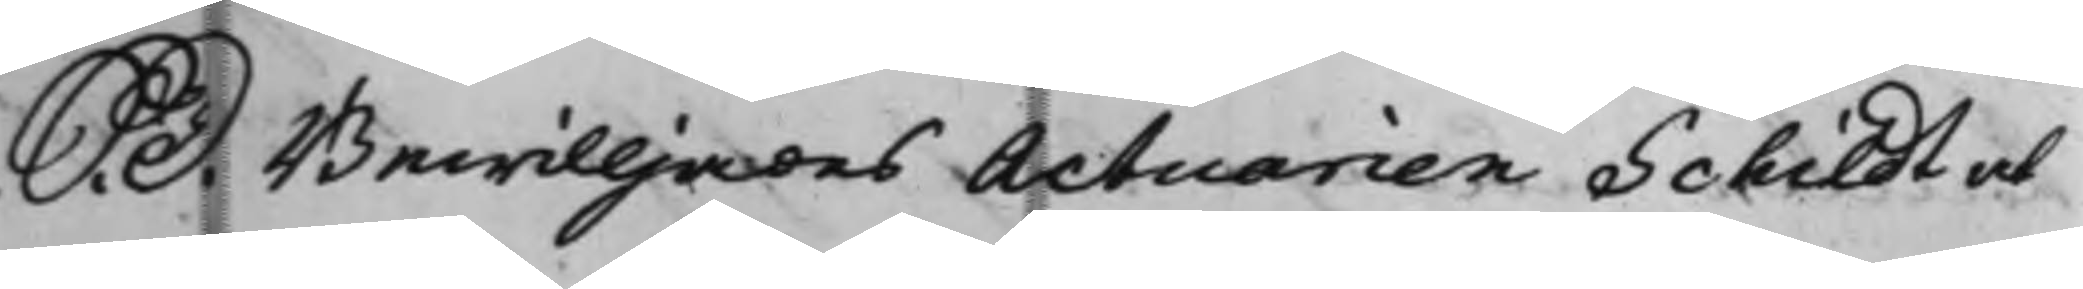S. D. Bewilljades Actuarien Schilct at
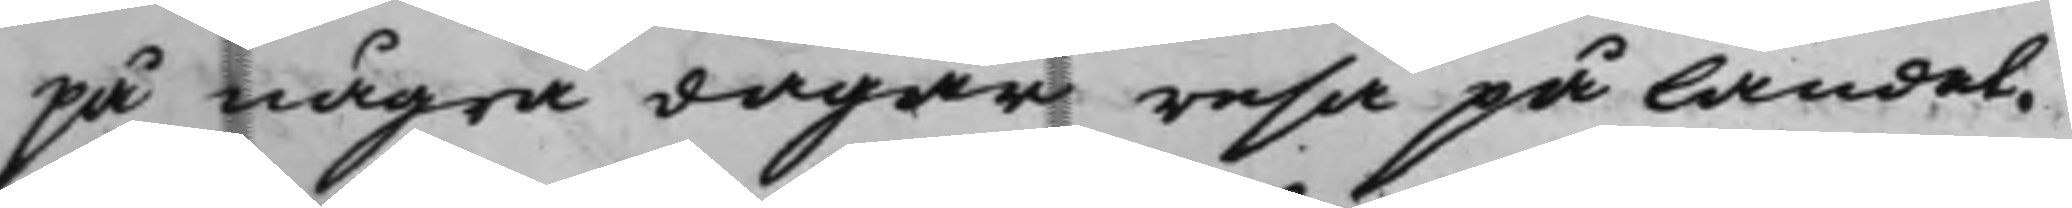på några dagar resa på landet.
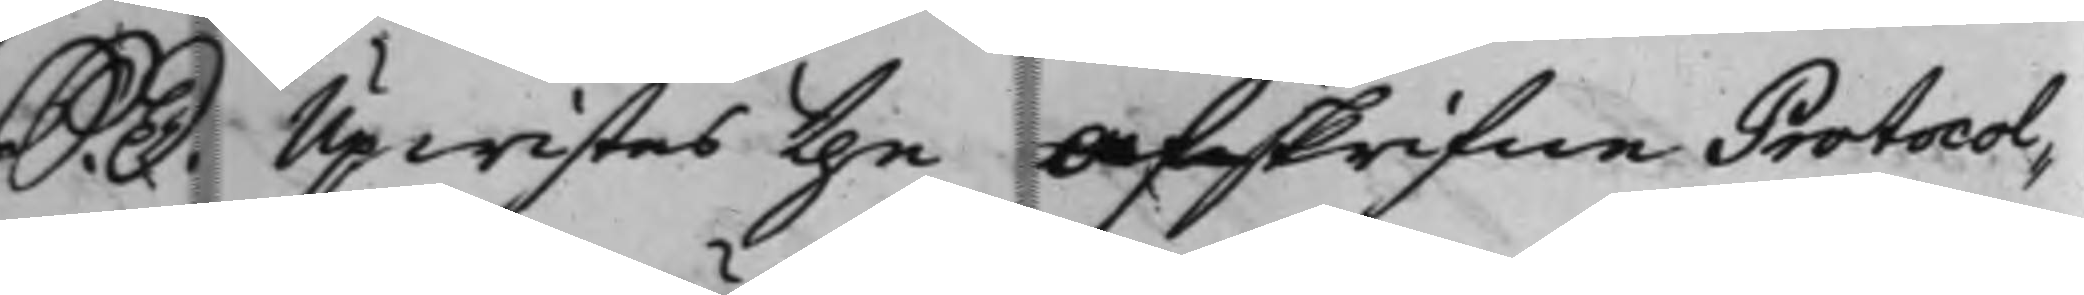S. D. Upwistes the Afskrifne Protocol¬
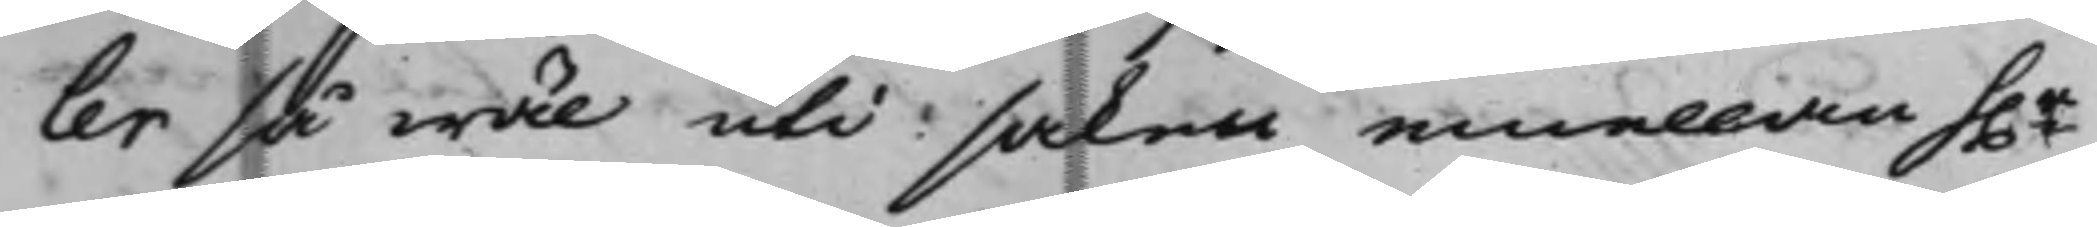ler så wäl uti saken emellan h.r
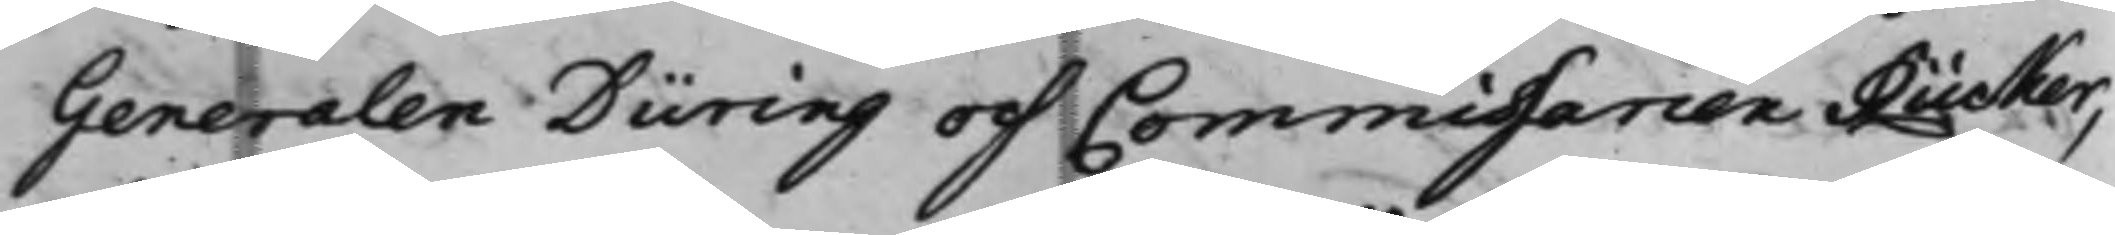Generalen Düring och Commissarien Rücker,
